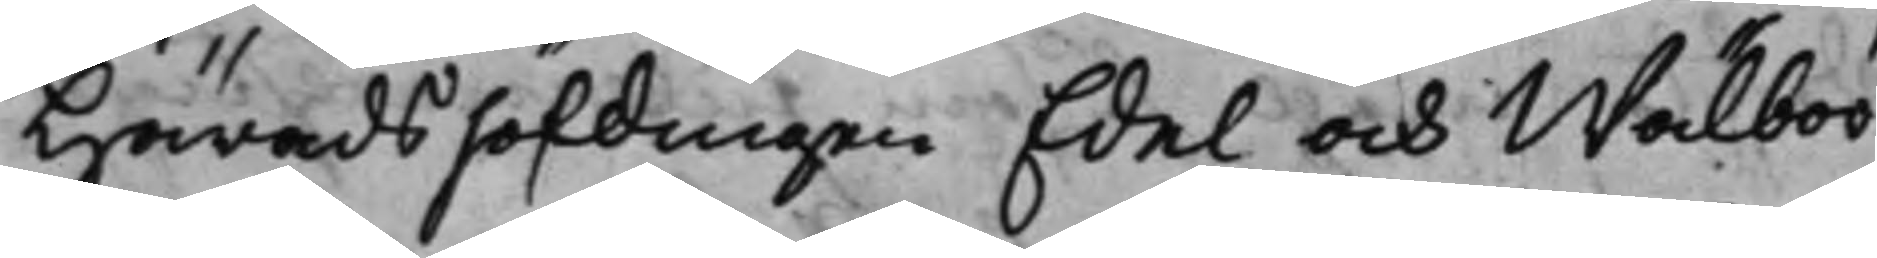Häradshöfdingen Edel och Wälbör¬
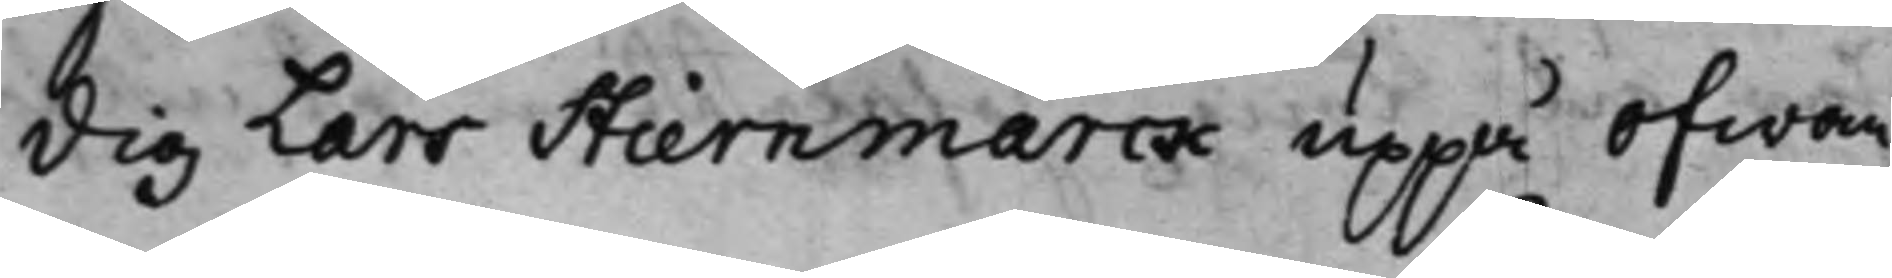dig Lars Stiernmarck uppå Ofwan¬
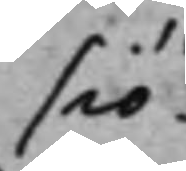siö
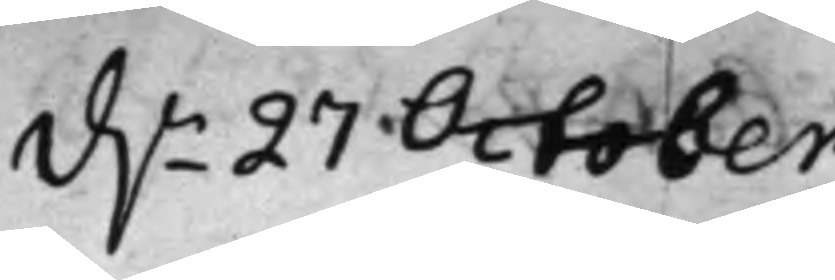d.n 27 October
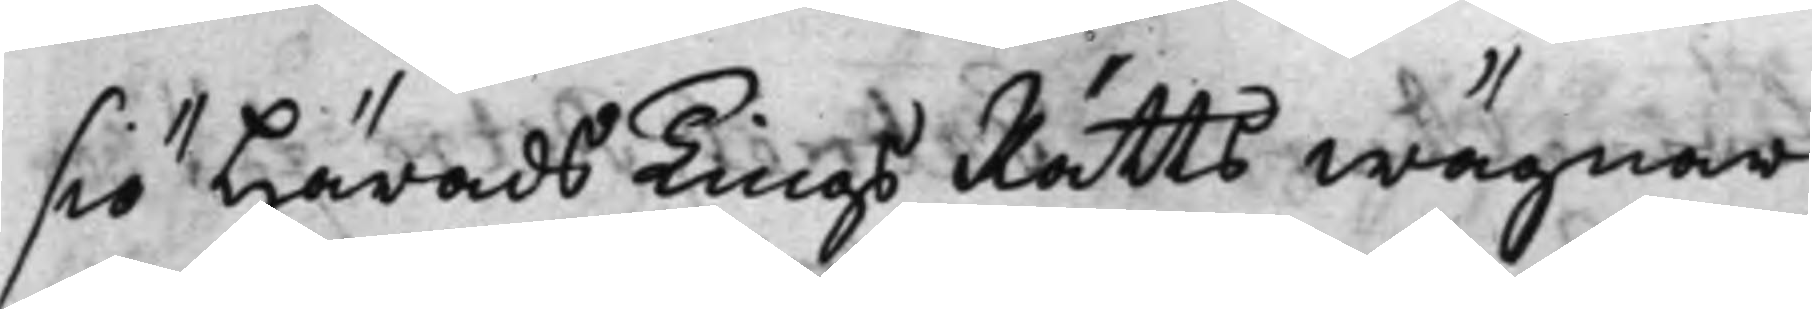siö Härads TingsRätts wägnar
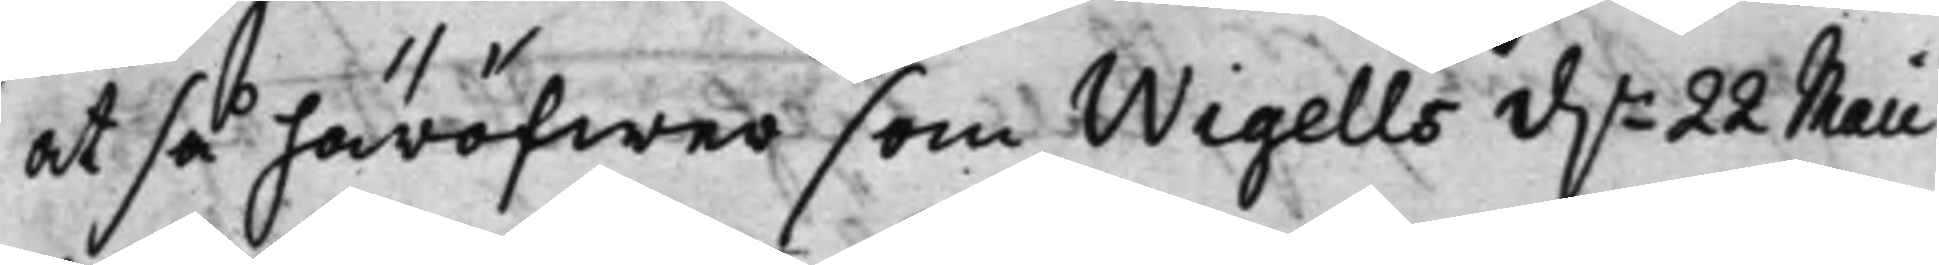at så häröfwer som Wigells d.n 22 Maii
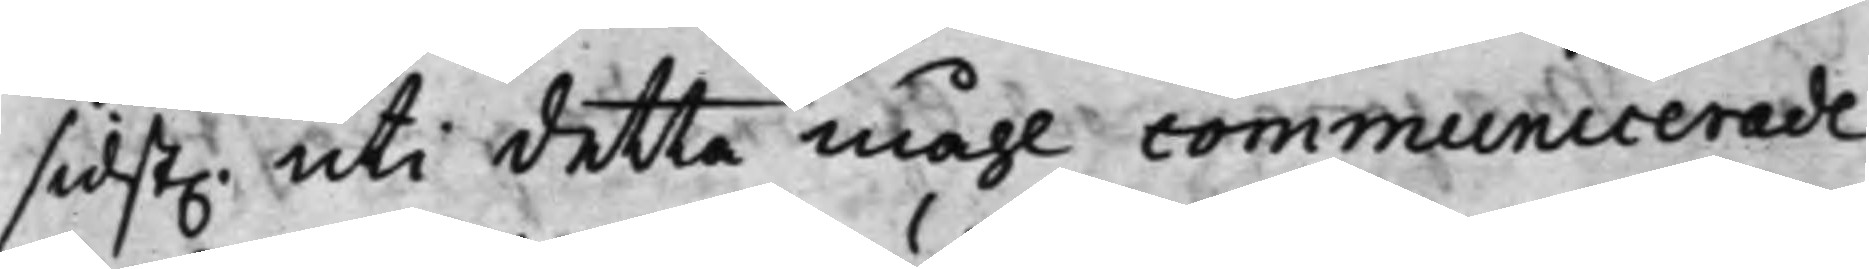sidst. uti detta måhl communicerade
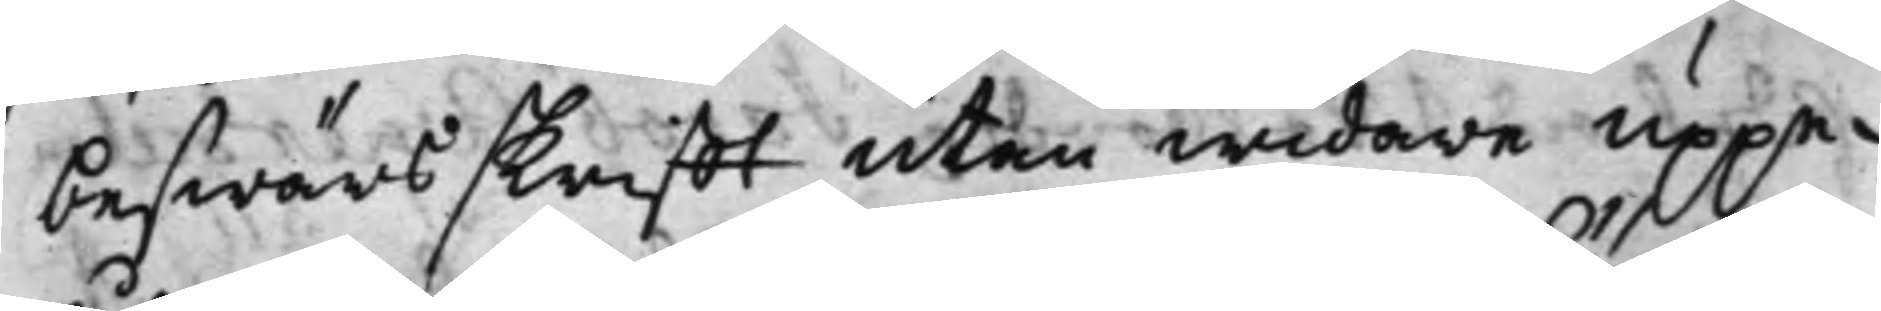beswärsskrifft utan widare uppe¬
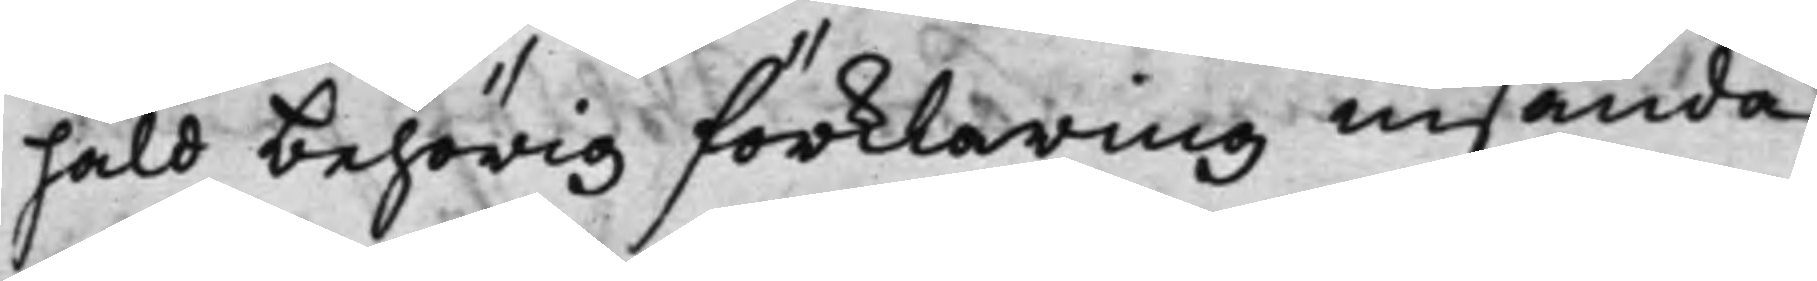håld behörig förklaring insända
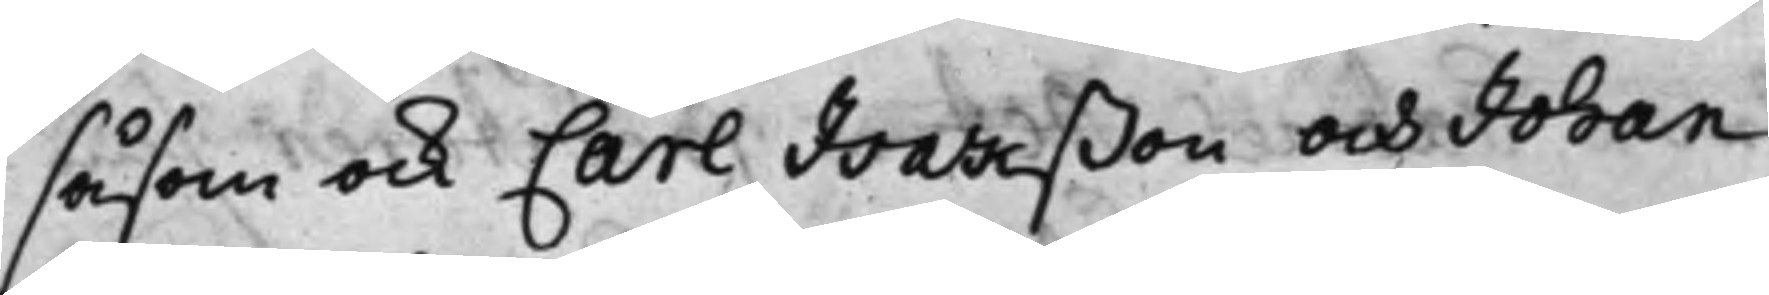såsom ock Carl Isakßon och Johan
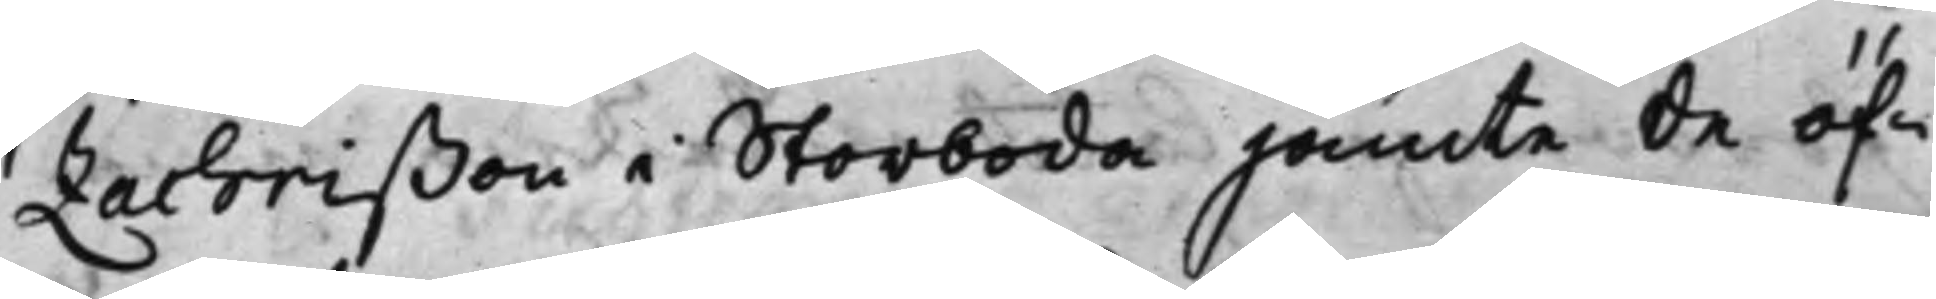Zachrißon i Storboda jämte de öf¬
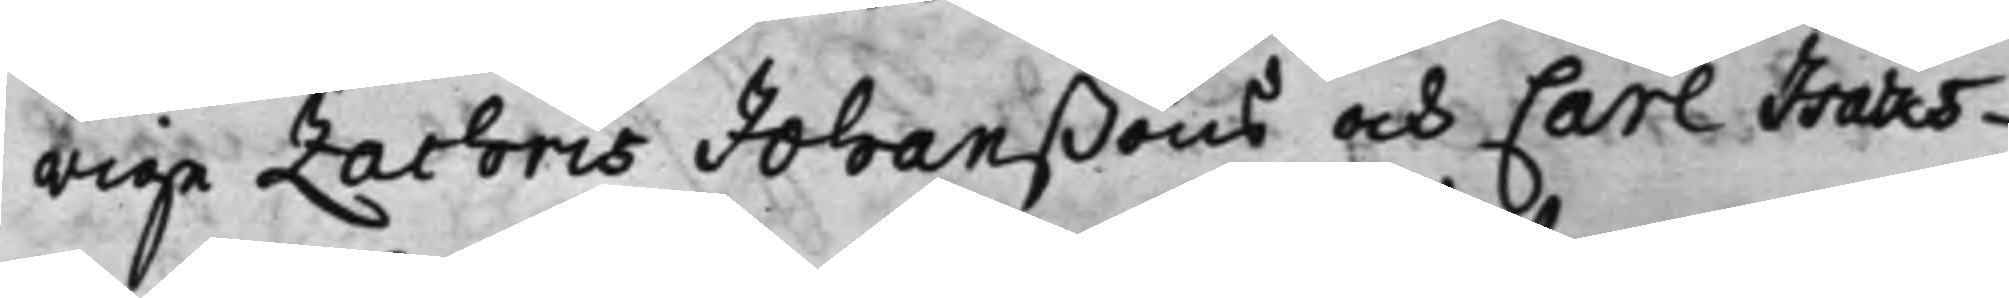rige Zachris Johanßons och Carl Isaks¬
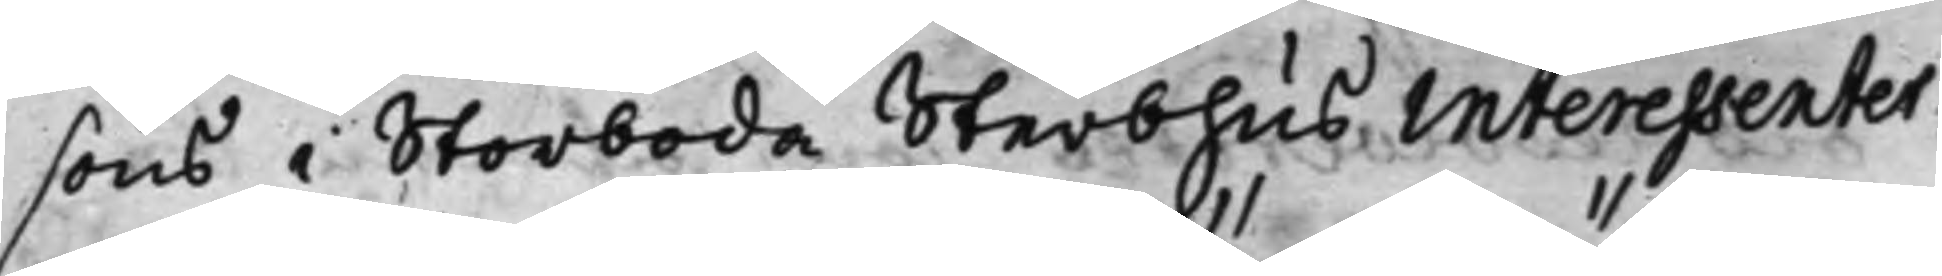sons i Storboda Sterbhus Interessenter
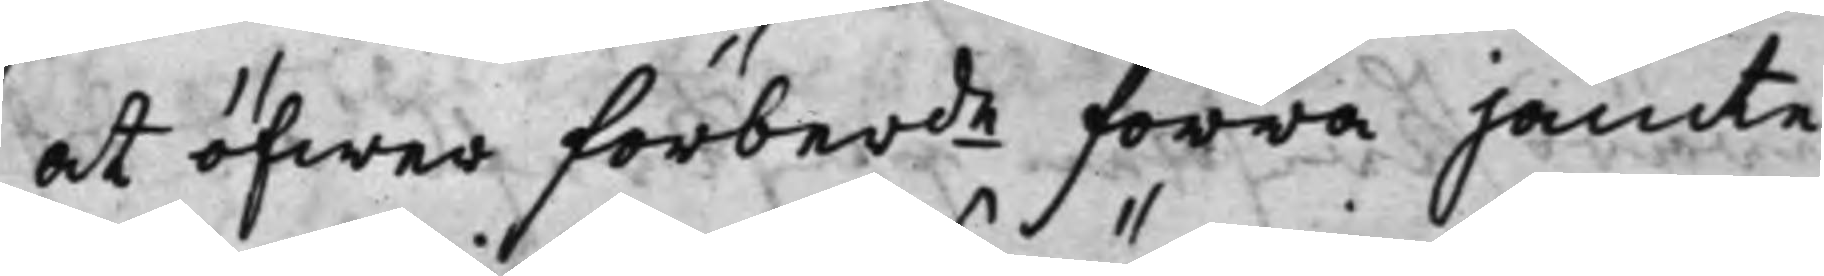at öfwer förberde förra jämte
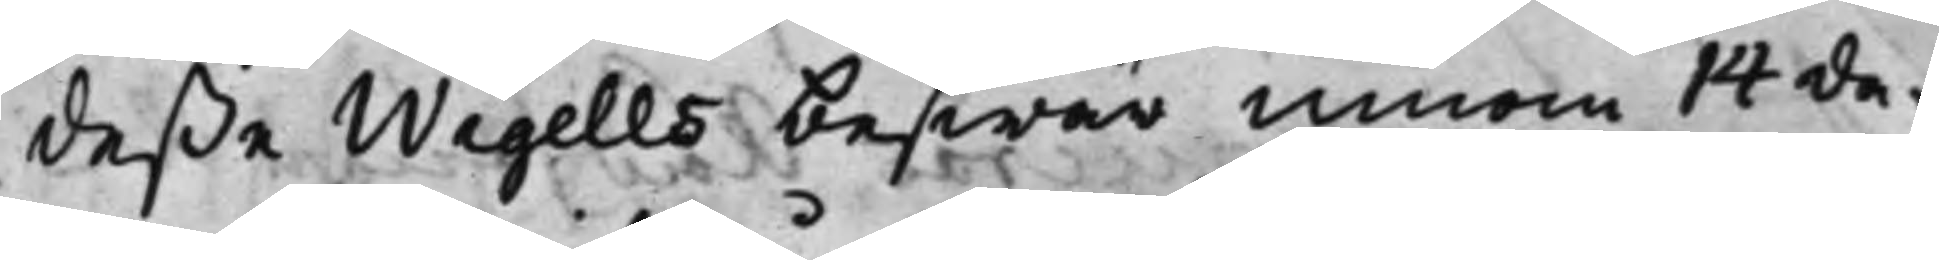deße Wigells beswär innom 14 da¬
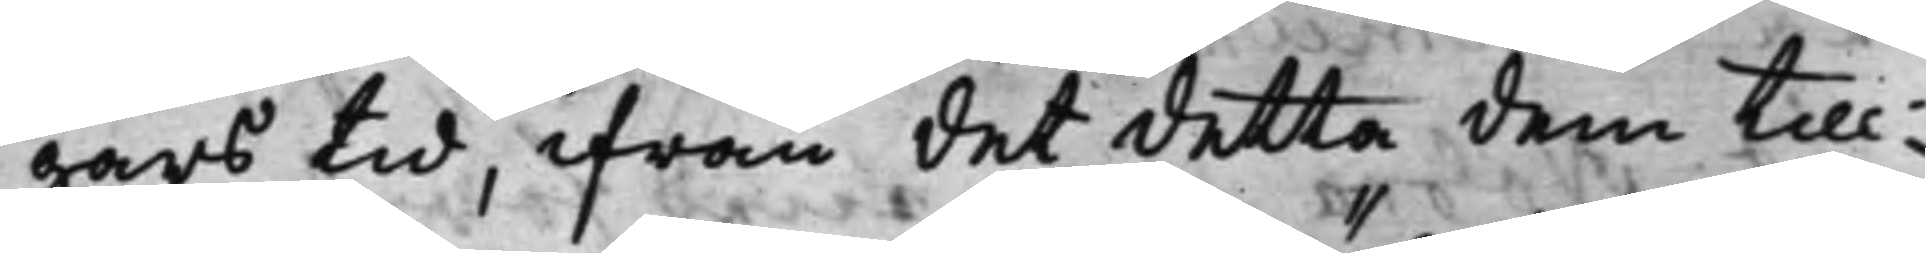gars tid, ifrån det detta dem till¬
